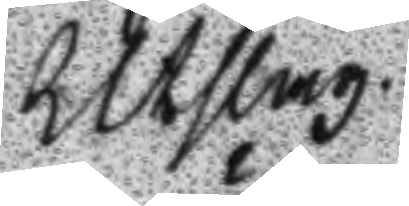Utslag
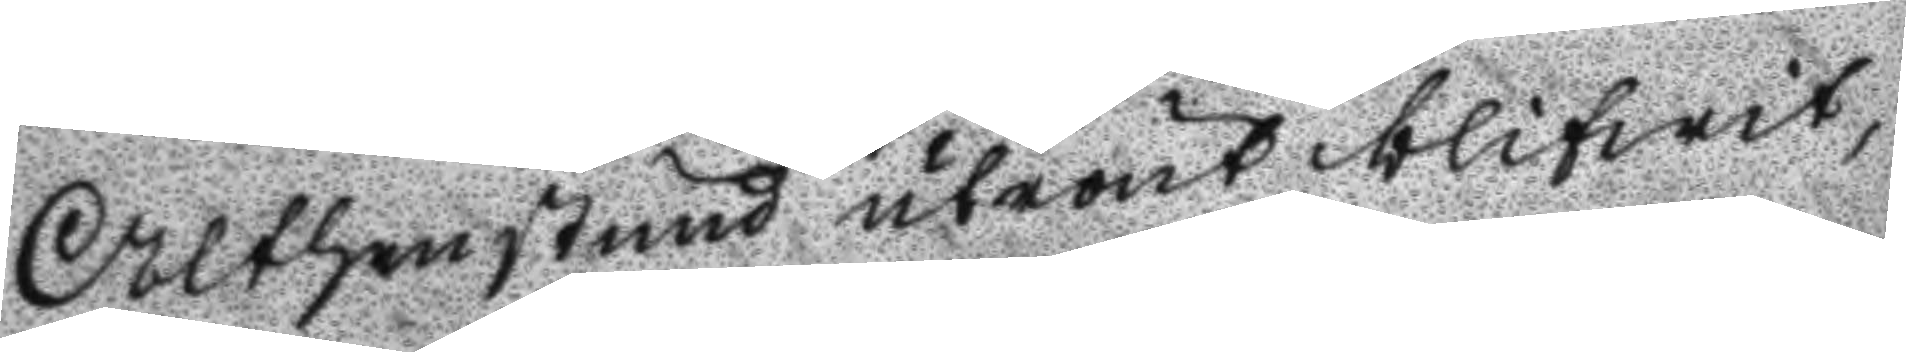Althenstud utrönt blifwit,
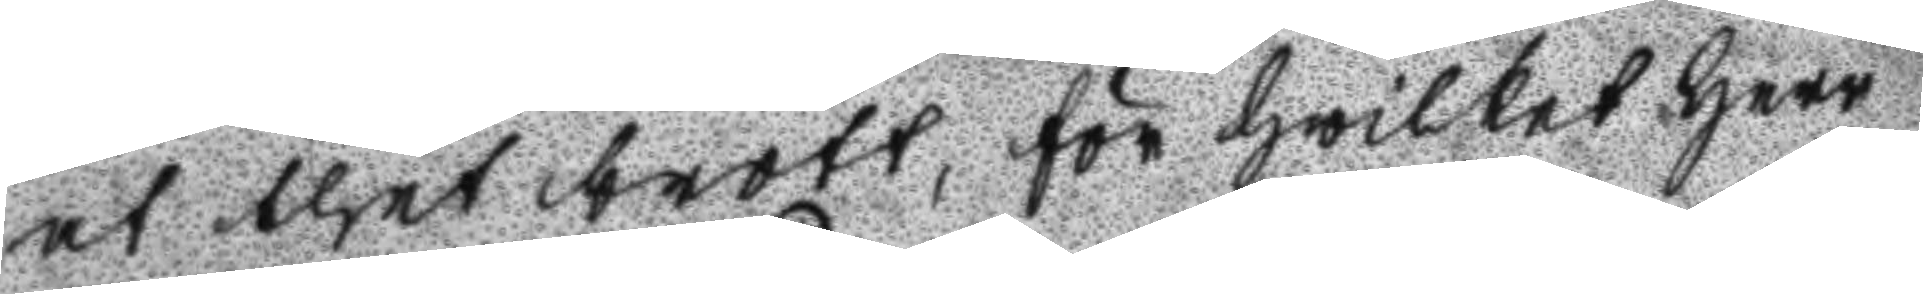at thet brott, för hwilket Herr
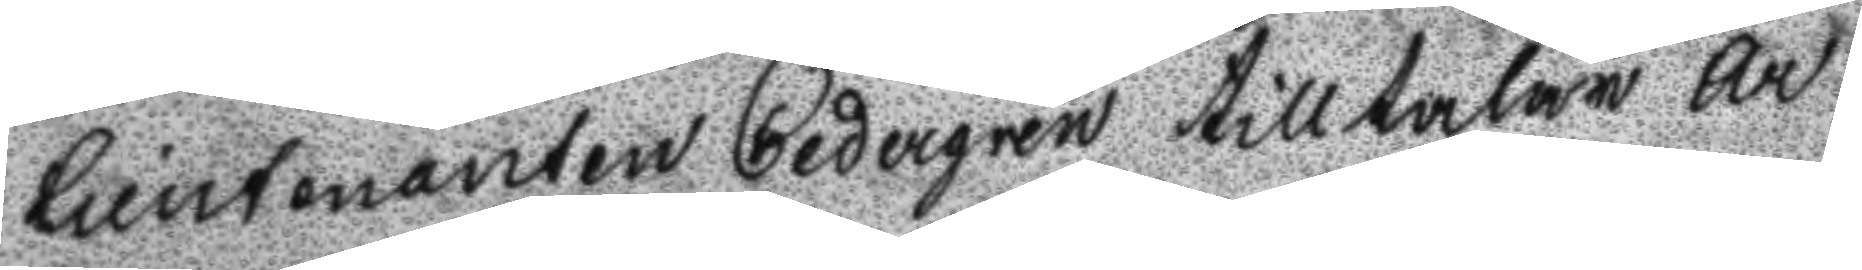Lieutenanten Cedergren tilltalar ar
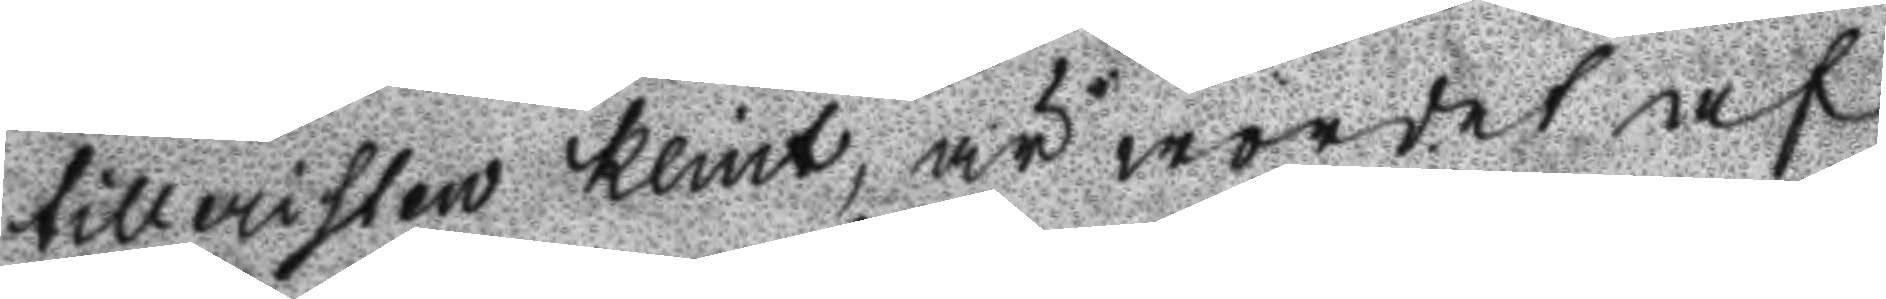tilleristen Klint, är wordet af
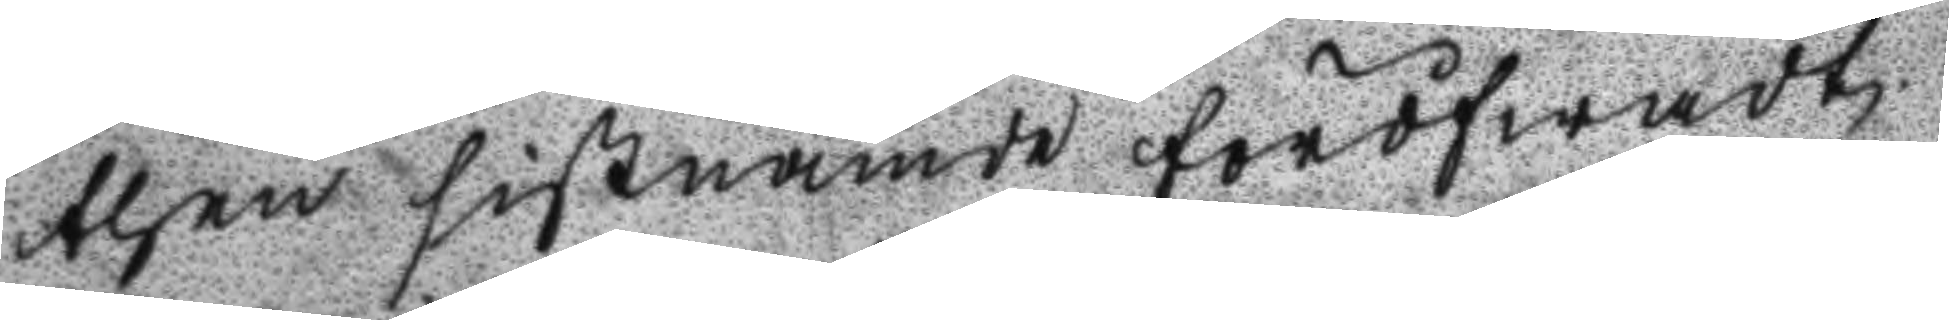then sistnämde föröfwadt
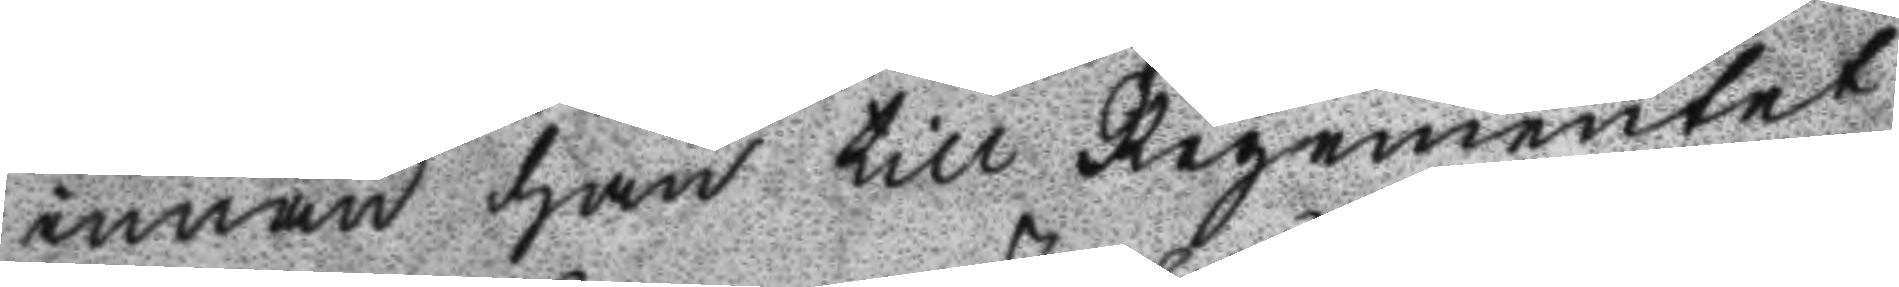innan han till regementet
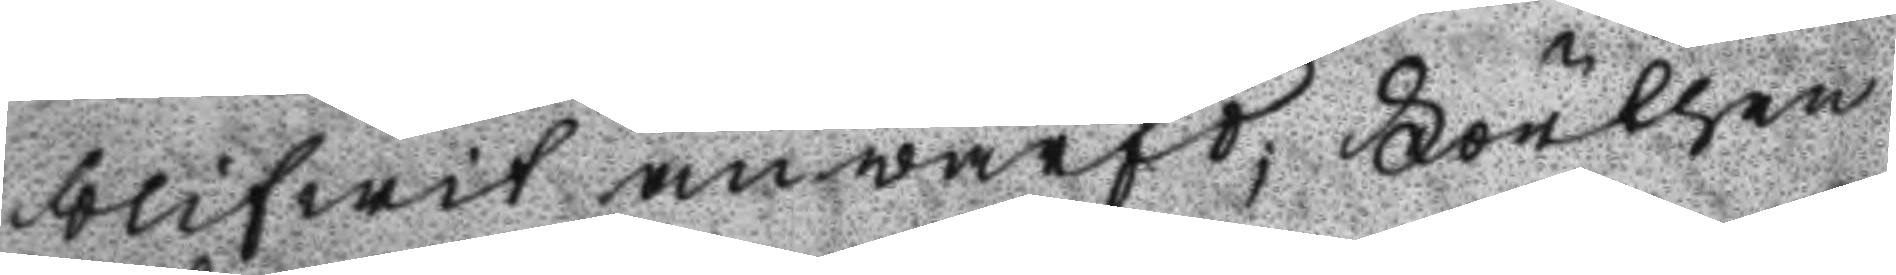blifwit anwärfd; Förthen
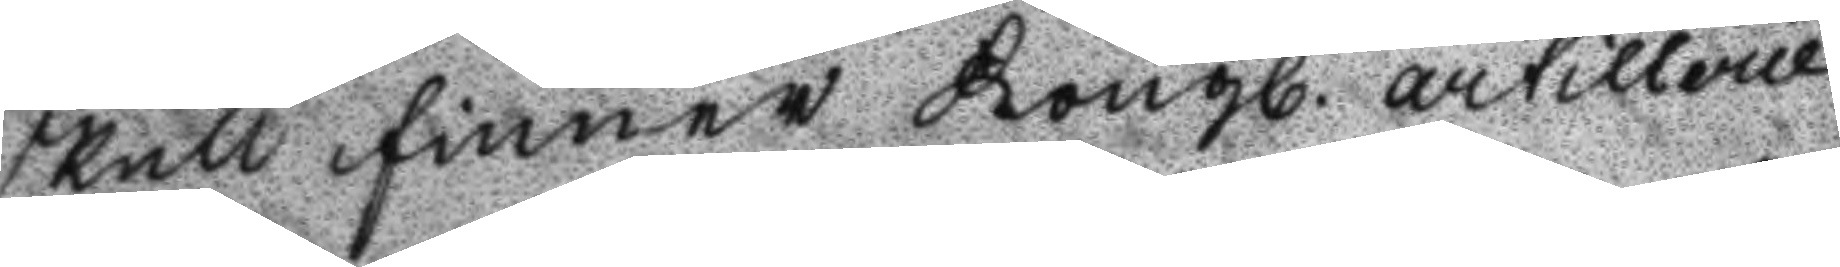skull finner Kongl. artillerie
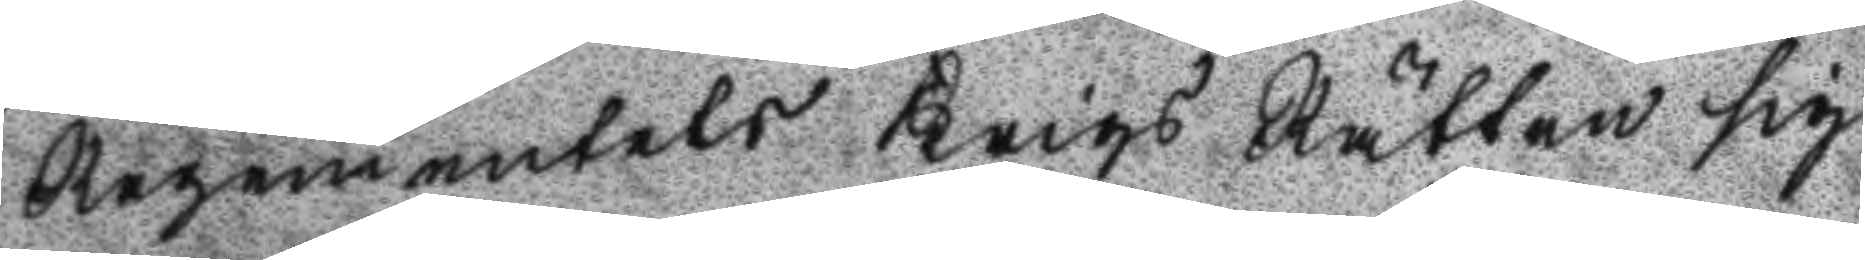Regementets Krigs Rätten sig
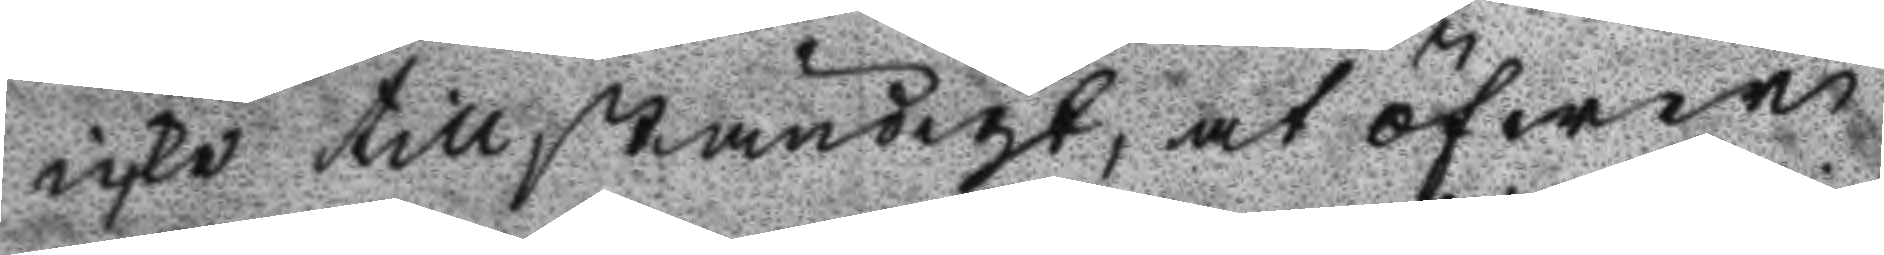icke tillständigt, at öfwer
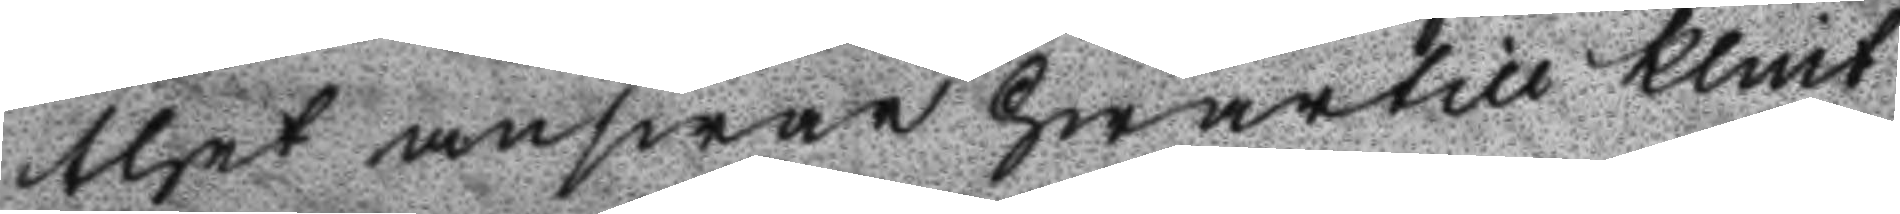thet answar hwartill Klint
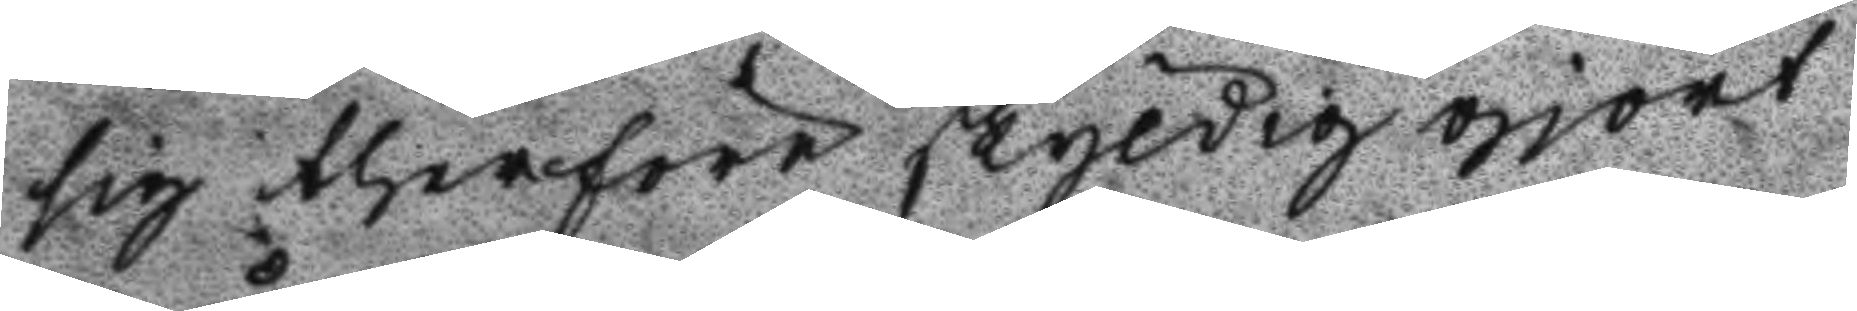sig therföre skyldig gjort
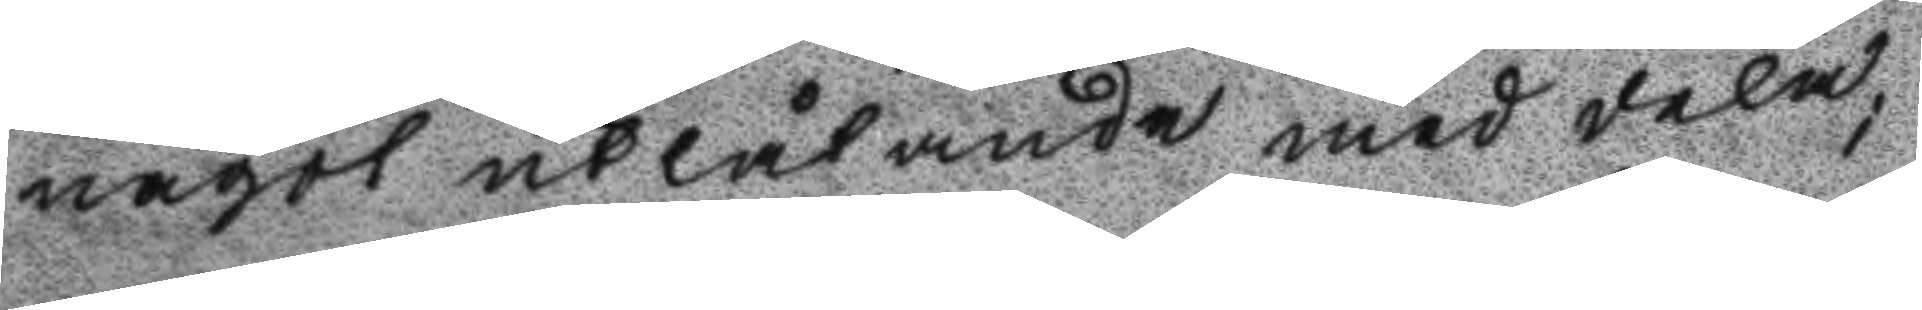något utlåtande meddela;
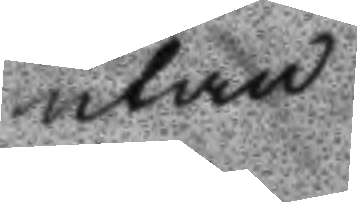utan
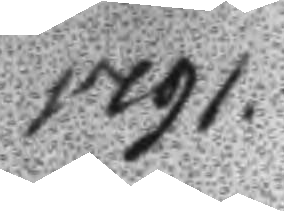1791.
